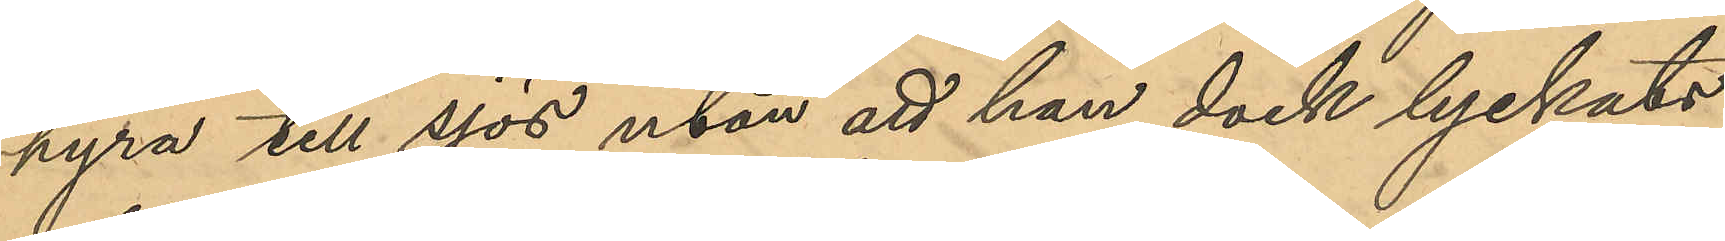hyra till sjös utan att han dock lyckats
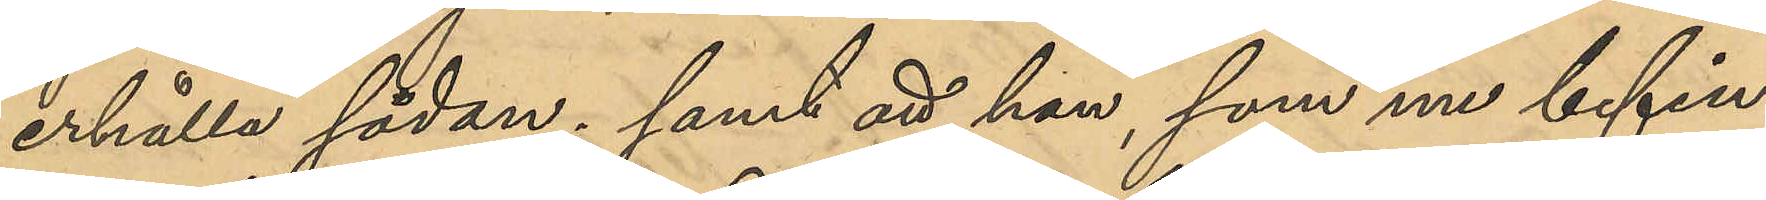erhålla sådan; samt att han, som nu befin¬
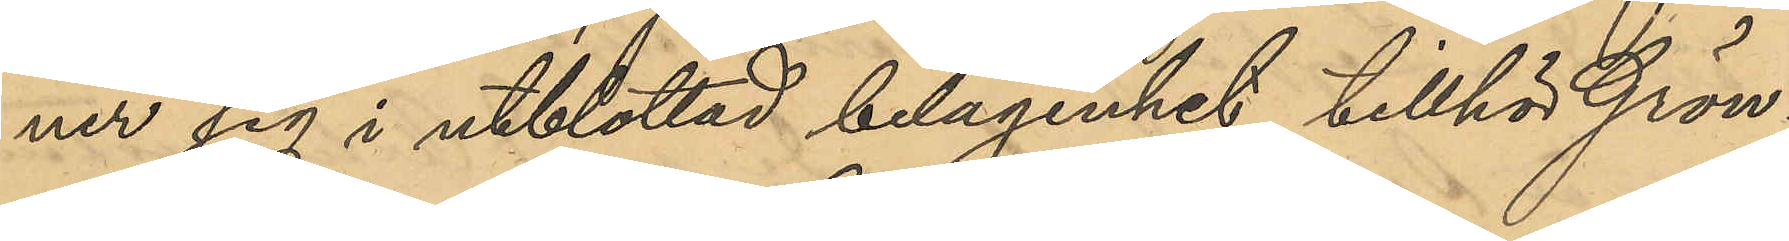ner sig i utblottad belägenhet, tillhör Grön¬
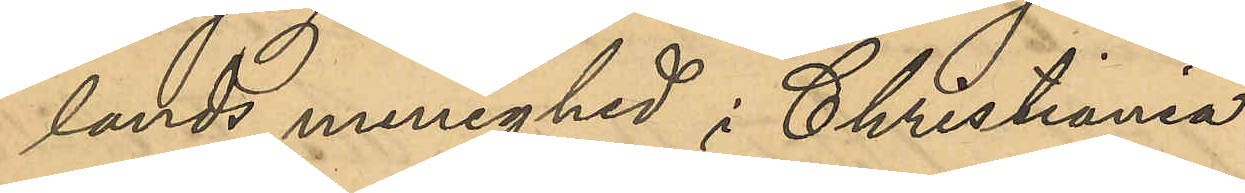lands menighed i Christiania.
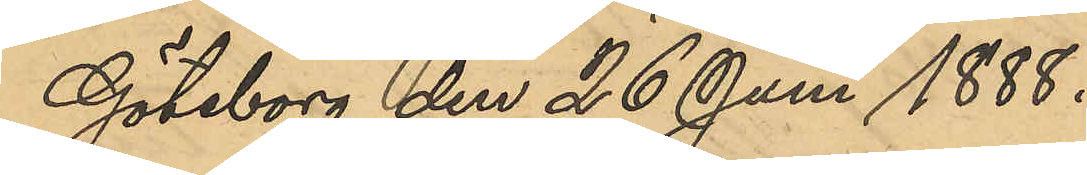Göteborg den 26 Juni 1888.
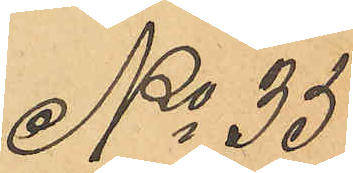No 35
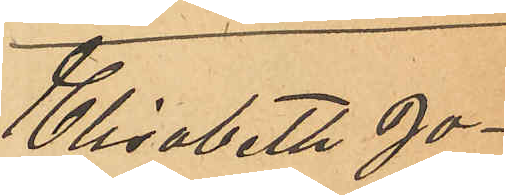Elisabeth Jo¬
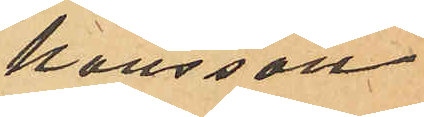hansson.
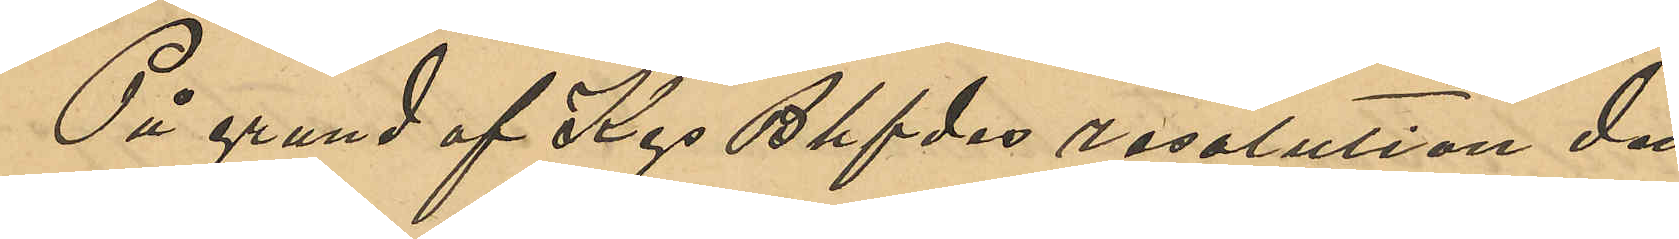På grund af Kgs Bhfdes resolution den
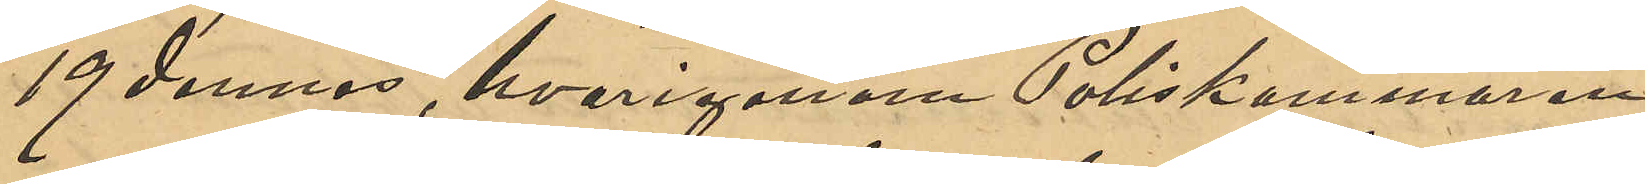19 dennes, hvarigenom Poliskammaren
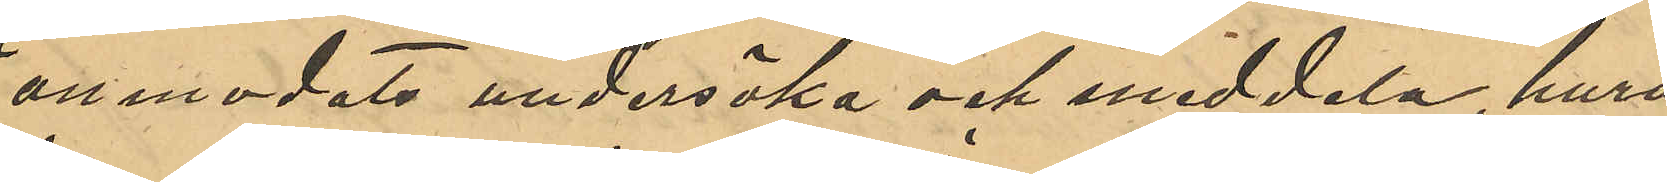anmodats undersöka och meddela, huru
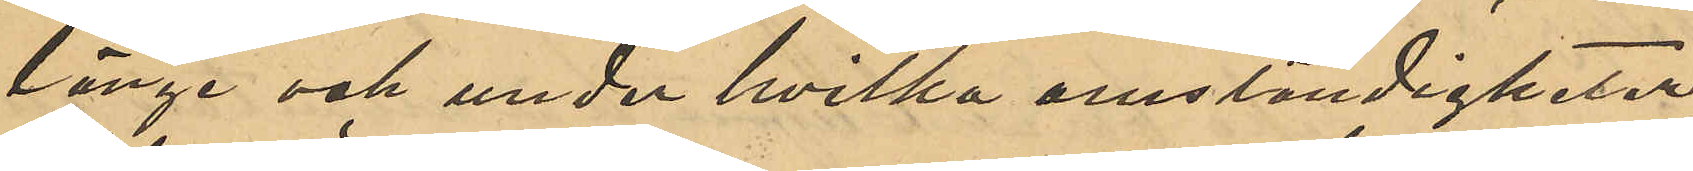länge och under hvilka omständigheter
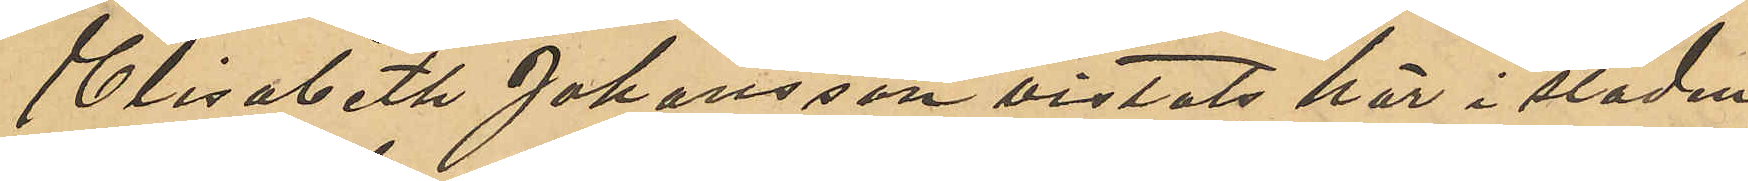Elisabeth Johansson vistats här i staden,
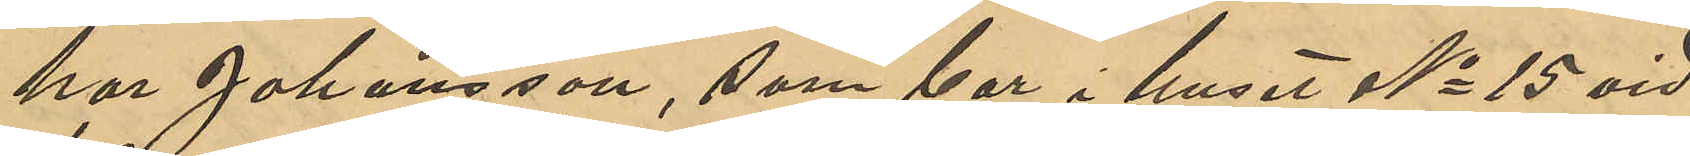har Johansson, som bor i huset No 15 vid
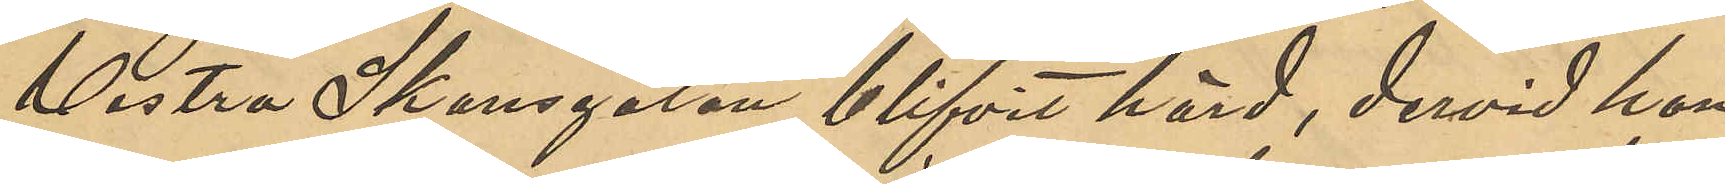Vestra Skansgatan blifvit hörd, dervid hon
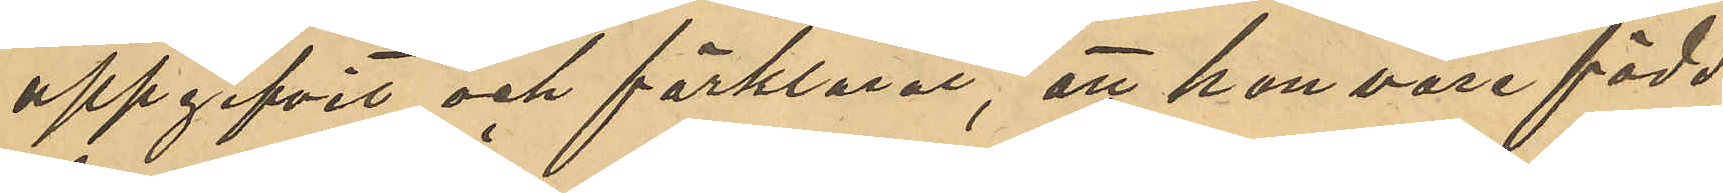uppgifvit och förklarat, att hon vore född
